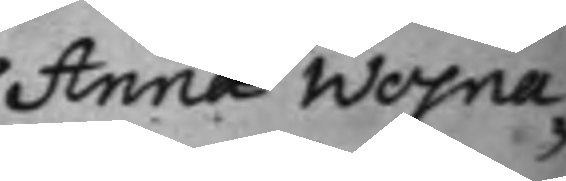Anna Wojna¬
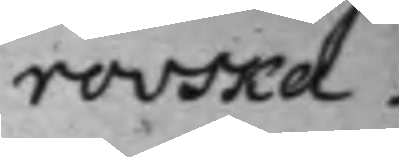rowska.
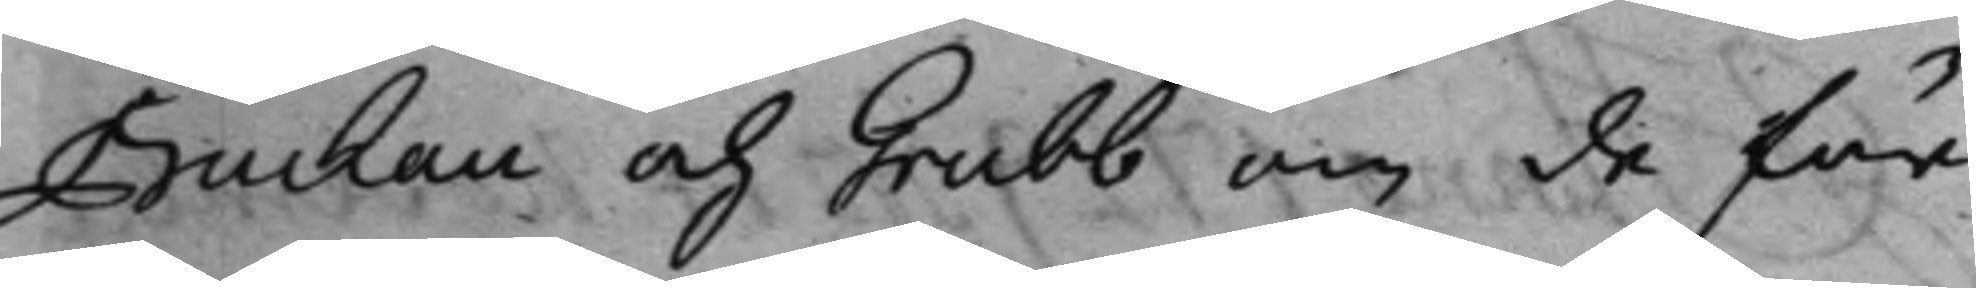Buchau, och Grubb om de för
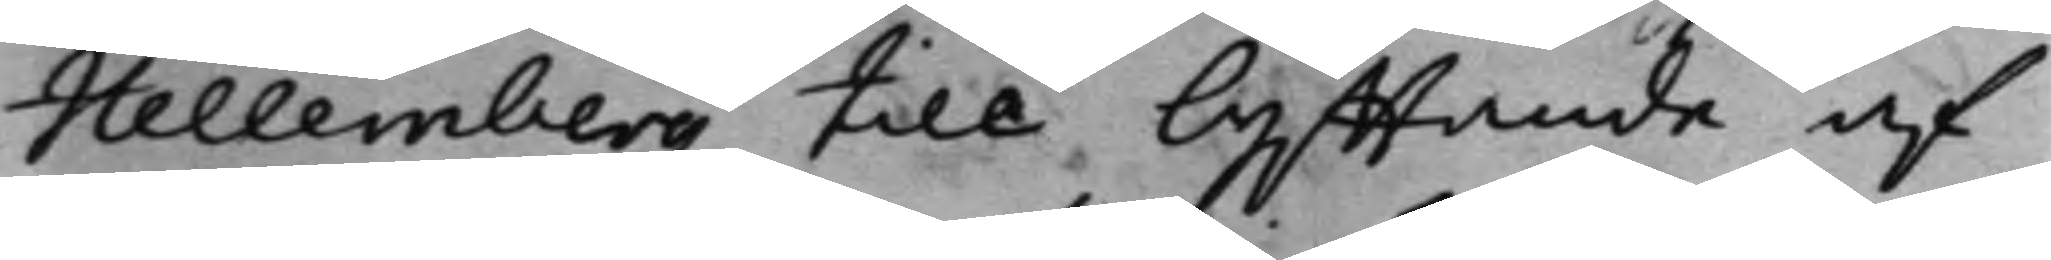Hellemberg till lyfftande af
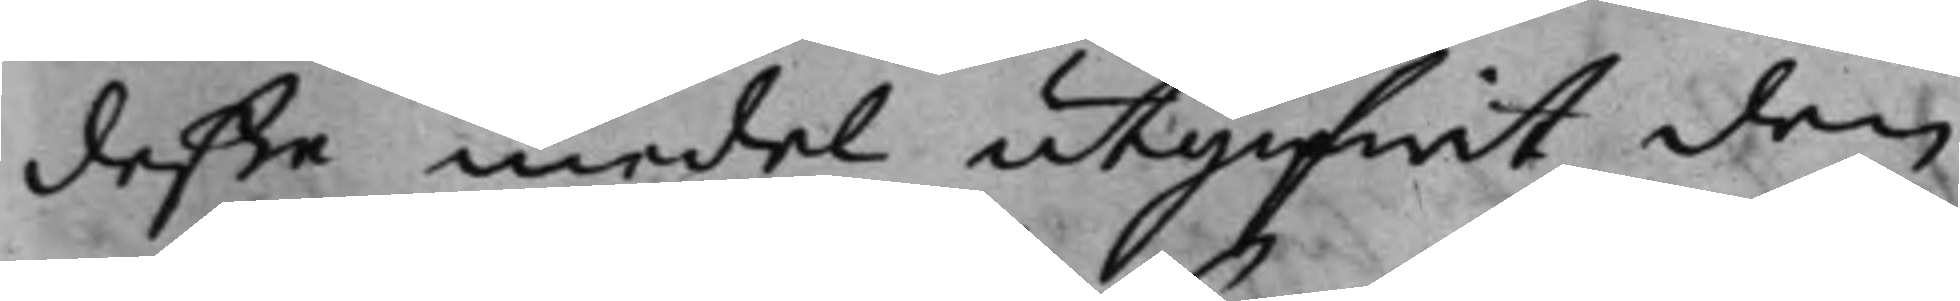deße medel utgifwit den
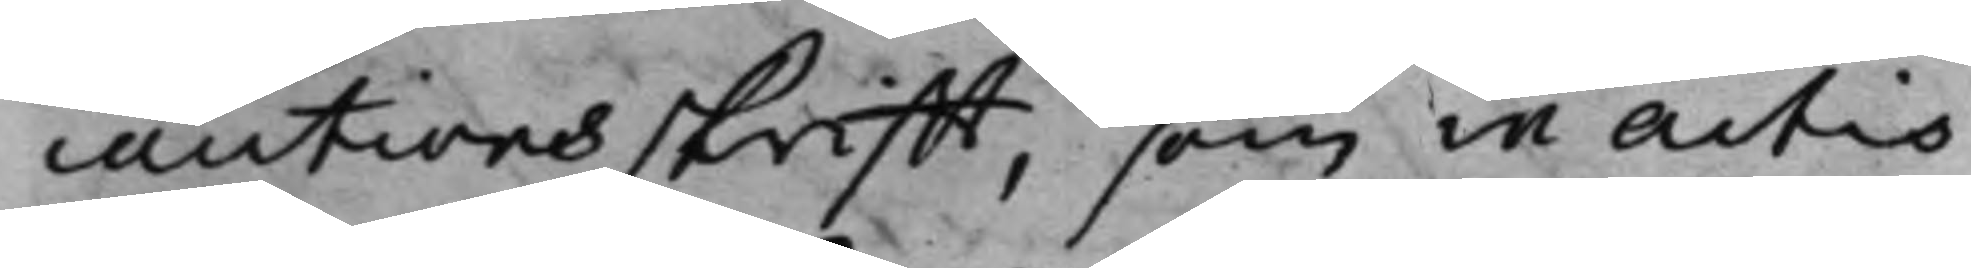cautionsskrifft, som in actis
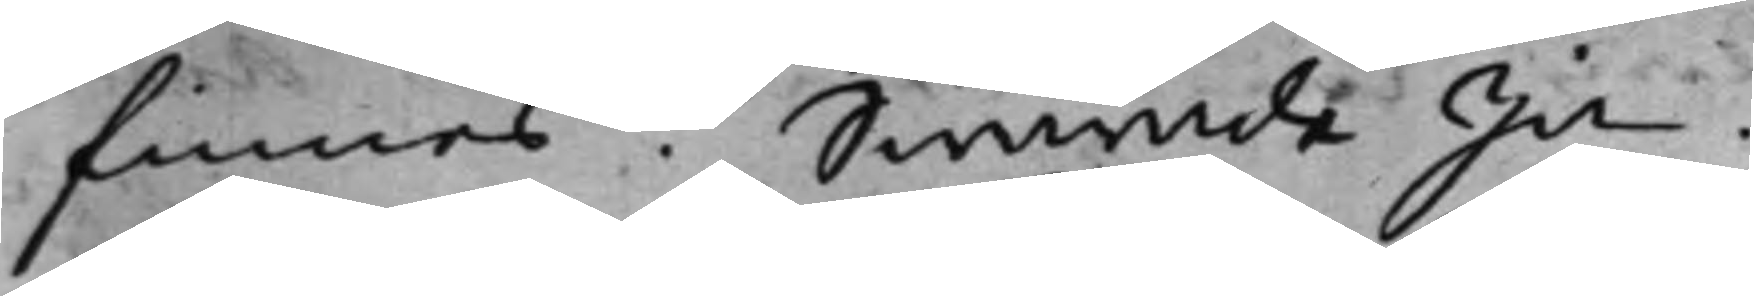finnes? Swarade Ja.
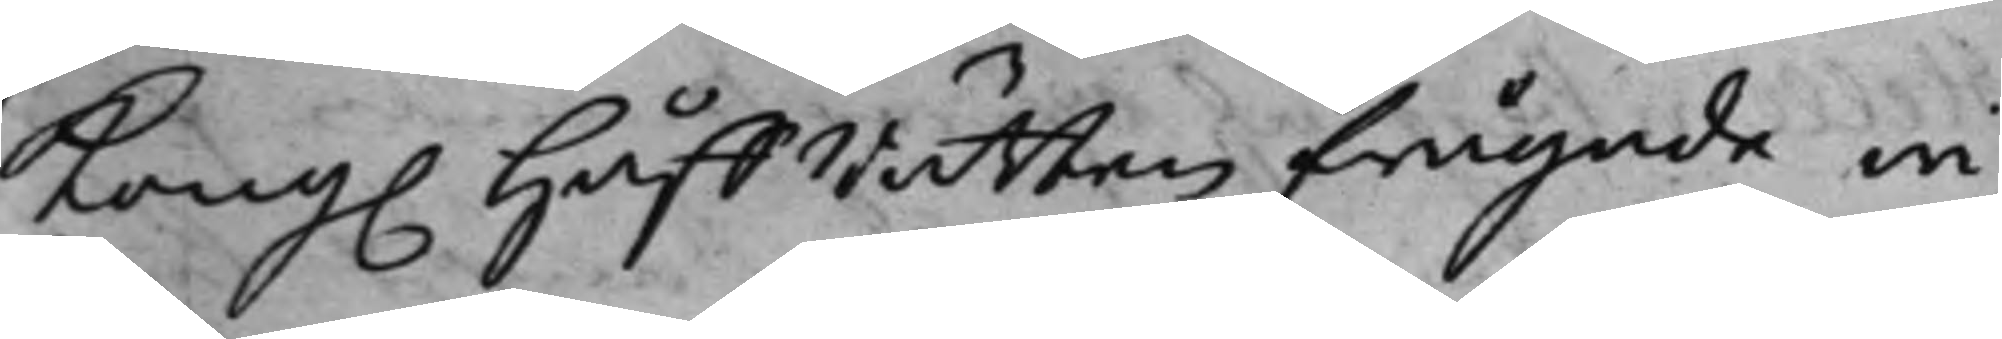Kong. HåffRätten frågade wi¬
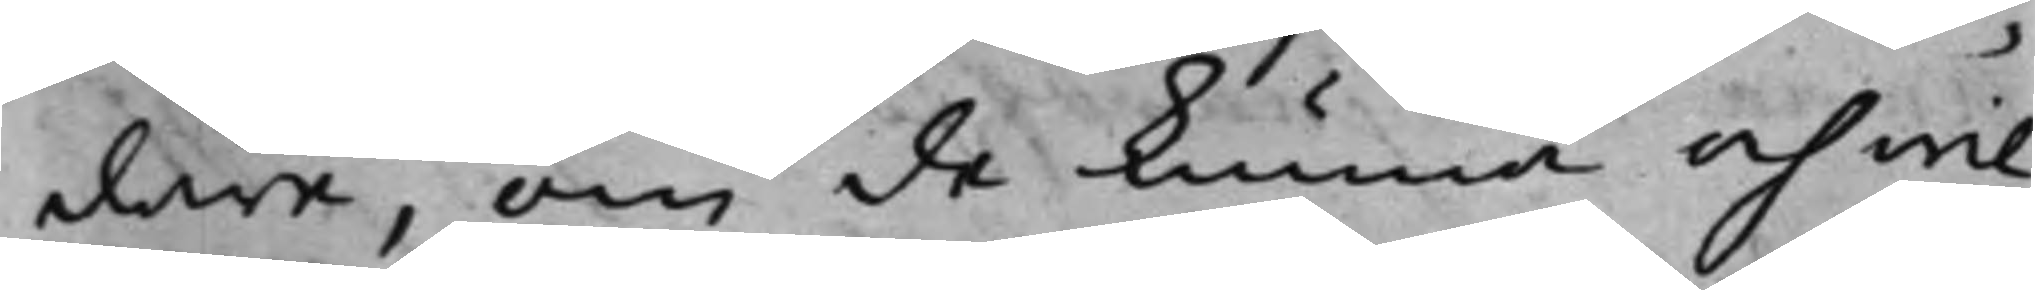dare, om de kunna och wil¬
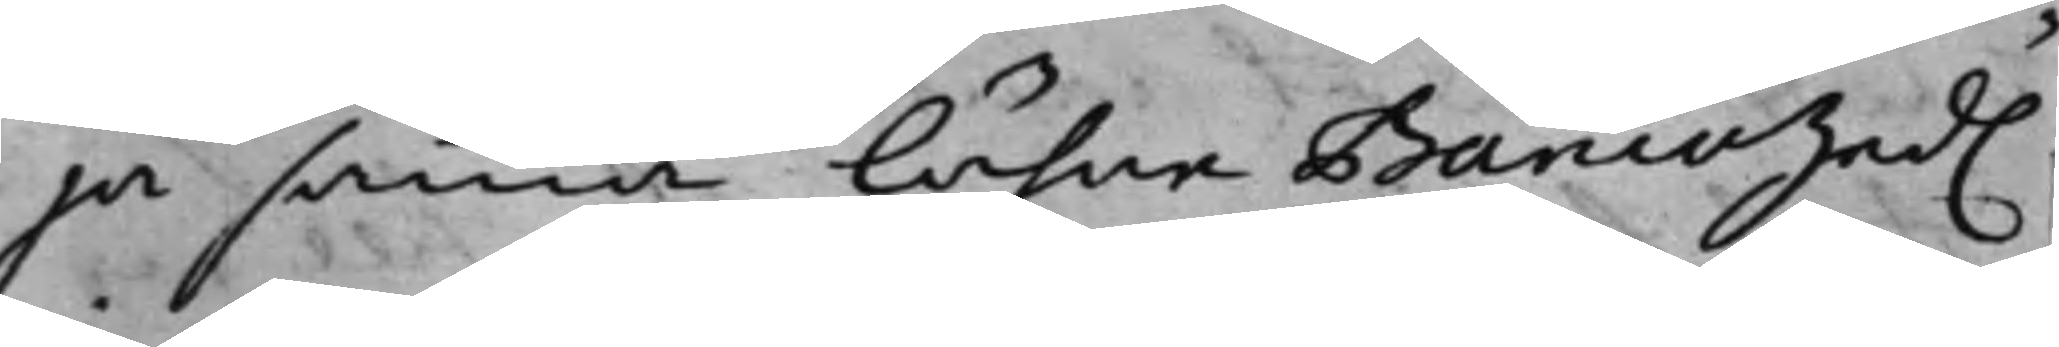ja samma lähne BancoSed.
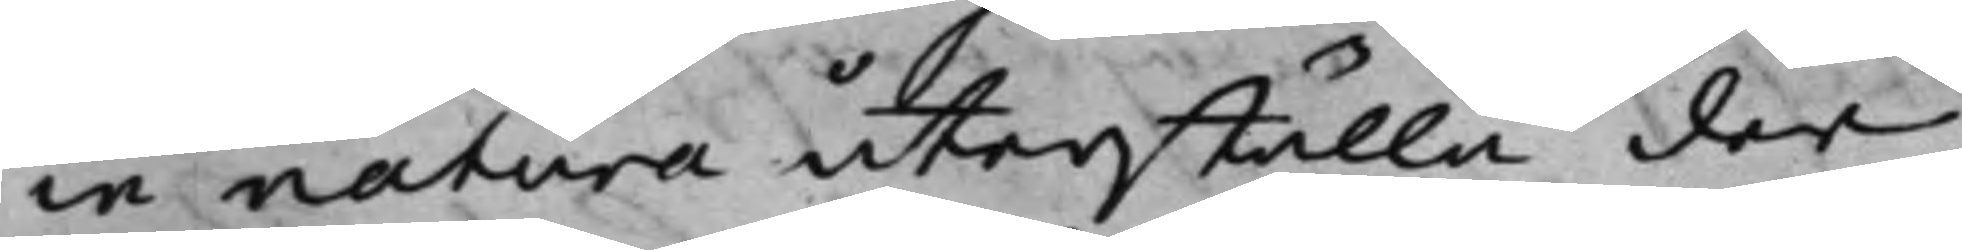in natura återställa der
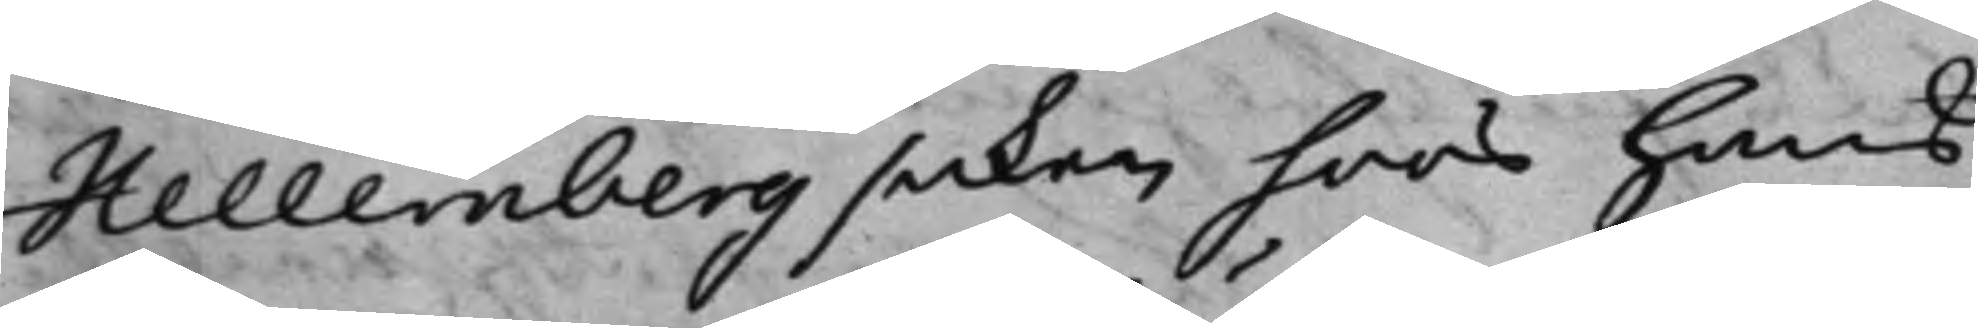Hellemberg saken hoos hans
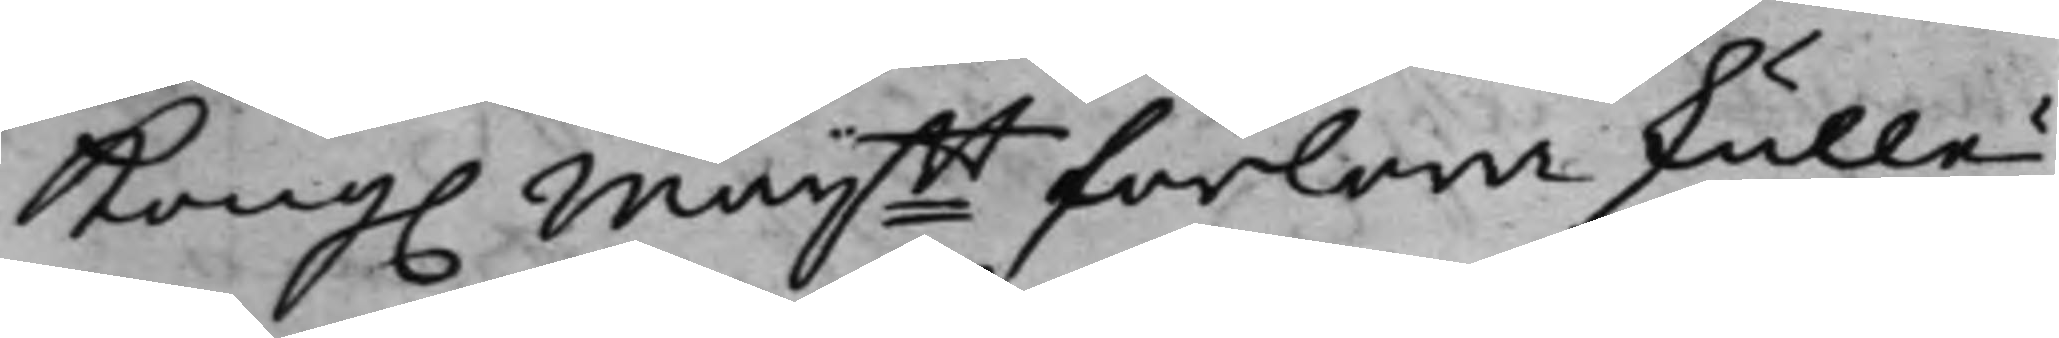Kong. Maijtt förlora skulle?
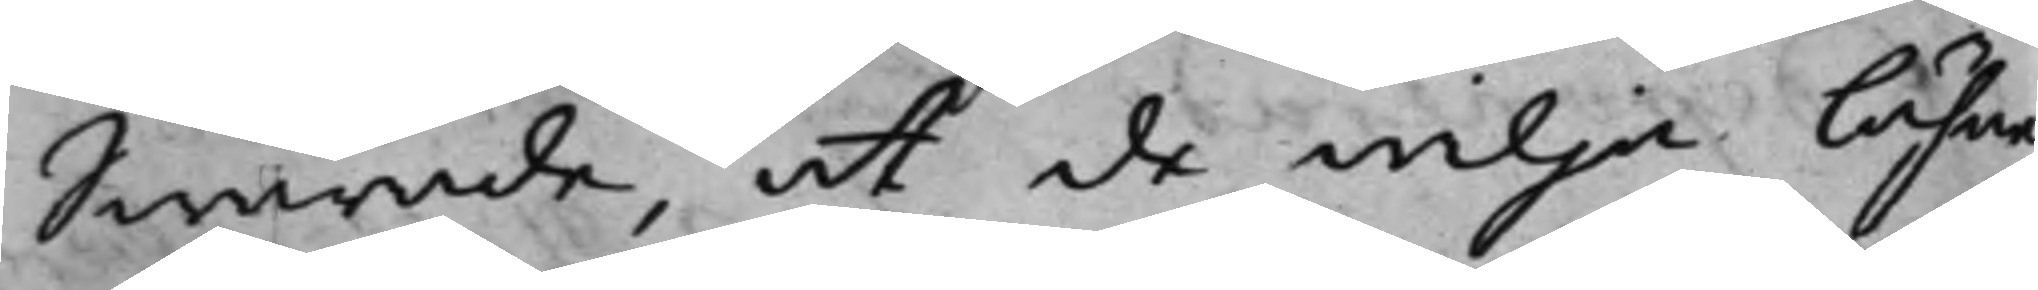Swarade, at de wilja lähne
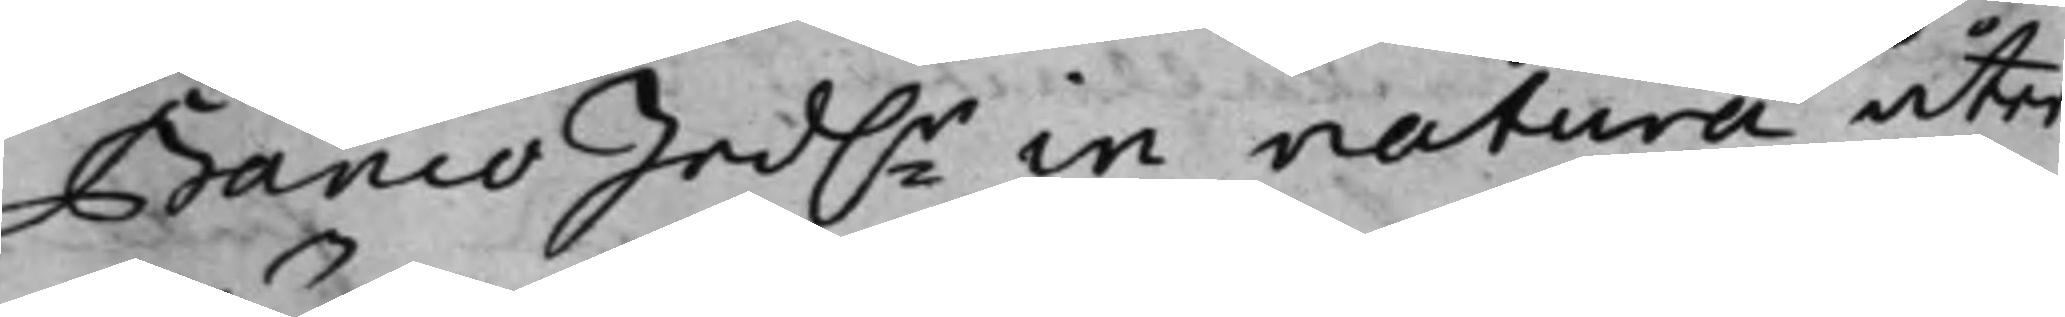Banco Sed.r in natura åter¬
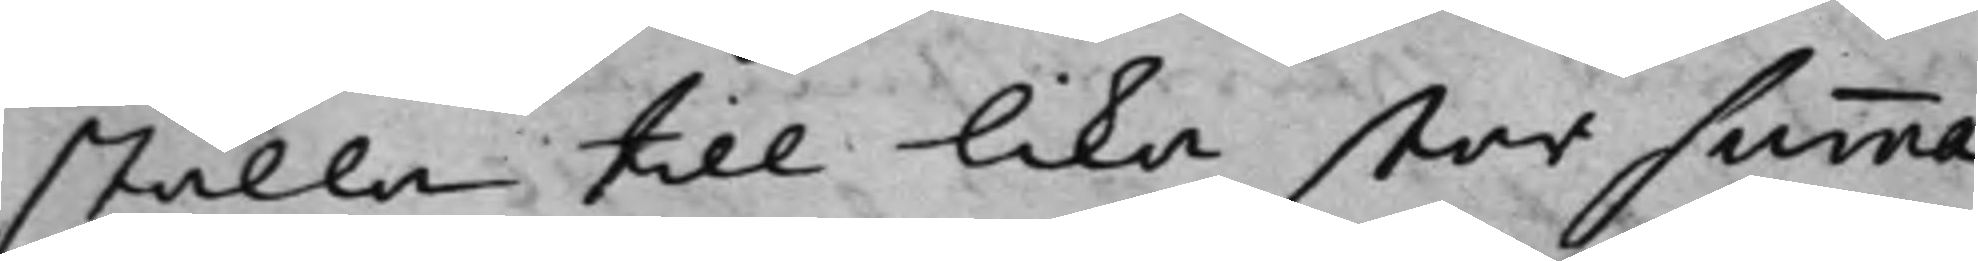ställa till lika stor summa
